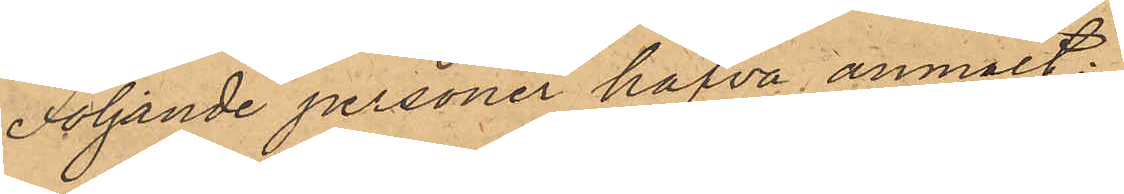Följande personer hafva anmält:
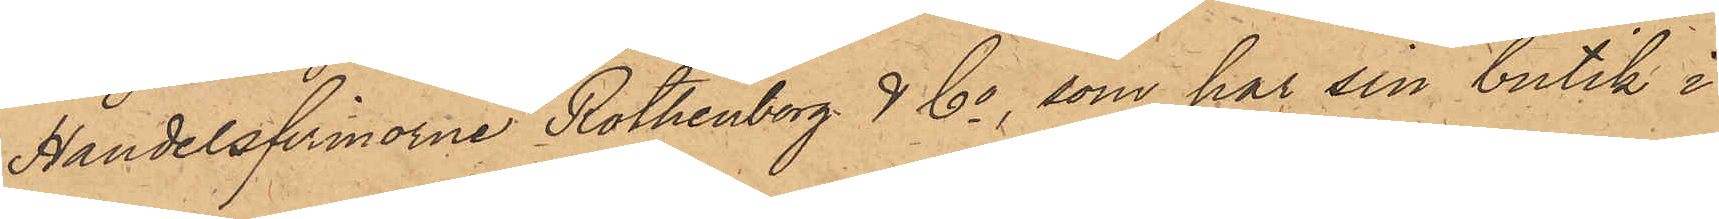Handelsfirmorne Rothenborg & Co, som har sin butik i
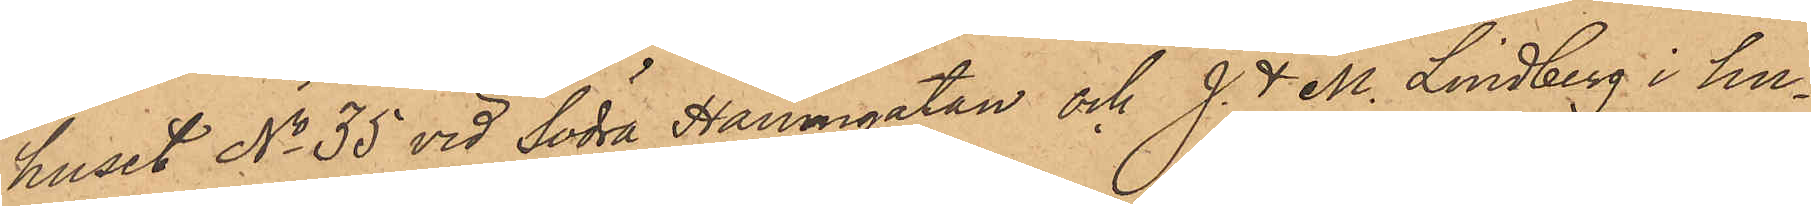huset No 35 vid Södra Hamngatan och J. & M. Lindberg i hu¬
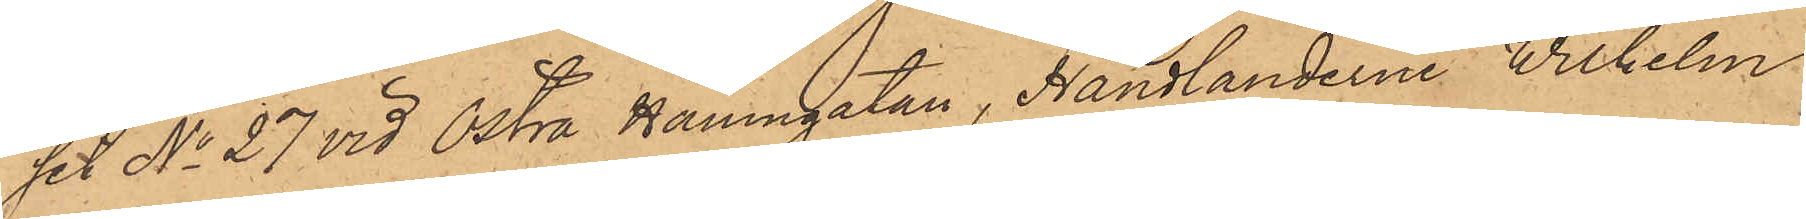set No 27 vid Östra Hamngatan, Handlanderne Wilhelm
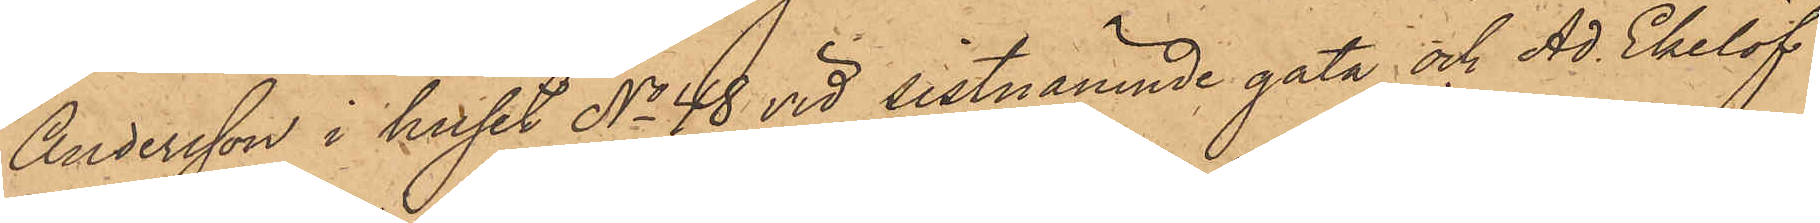Andersson i huset No 48 vid sistnämnde gata och Ad. Ekelöf
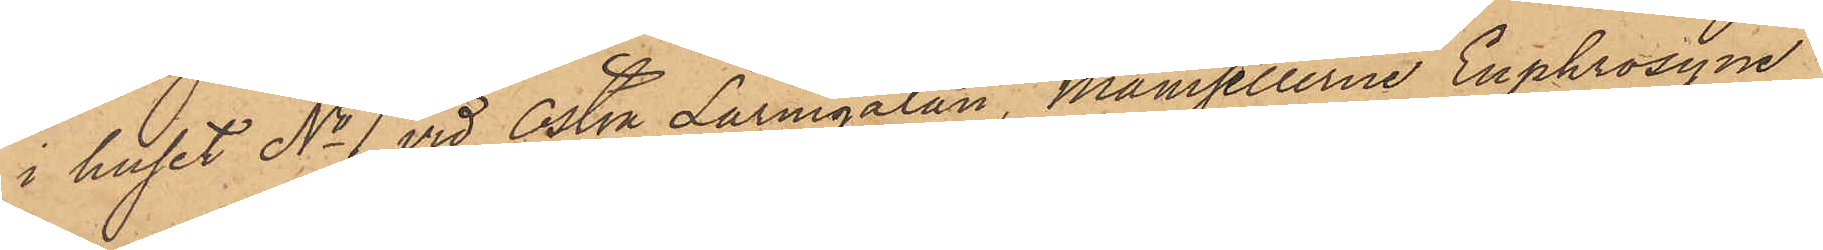i huset No 1 vid Östra Larmgatan, Mamsellerne Euphrosyne
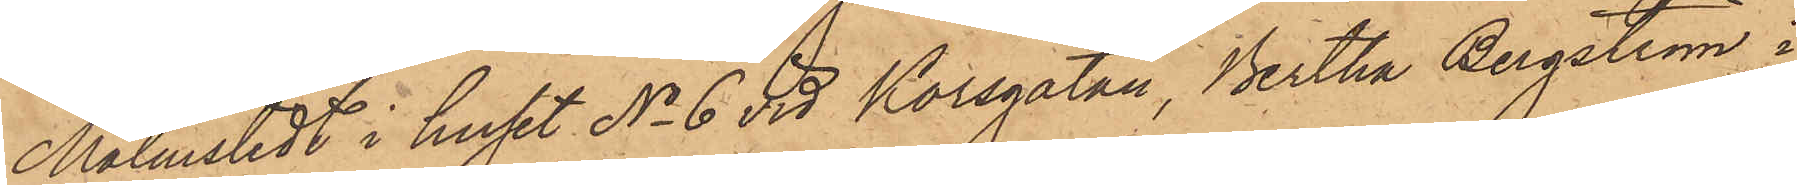Malmstedt i huset No 6 vid Korsgatan, Bertha Bergström i
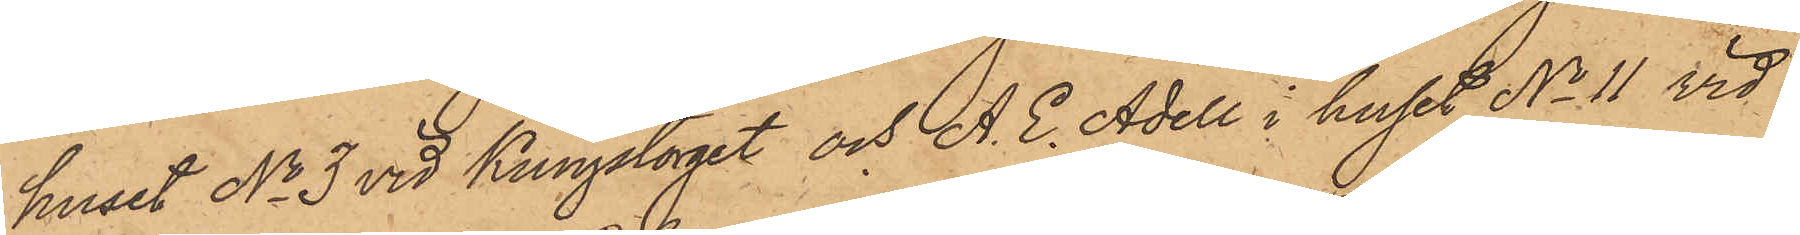huset No 3 vid Kungstorget och A. E. Adell i huset No 11 vid
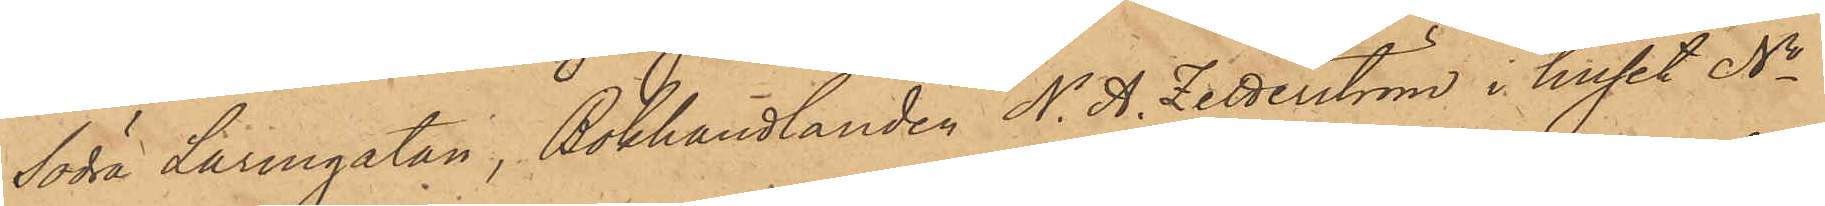Södra Larmgatan, Bokhandlanden N. A. Zetterström i huset No
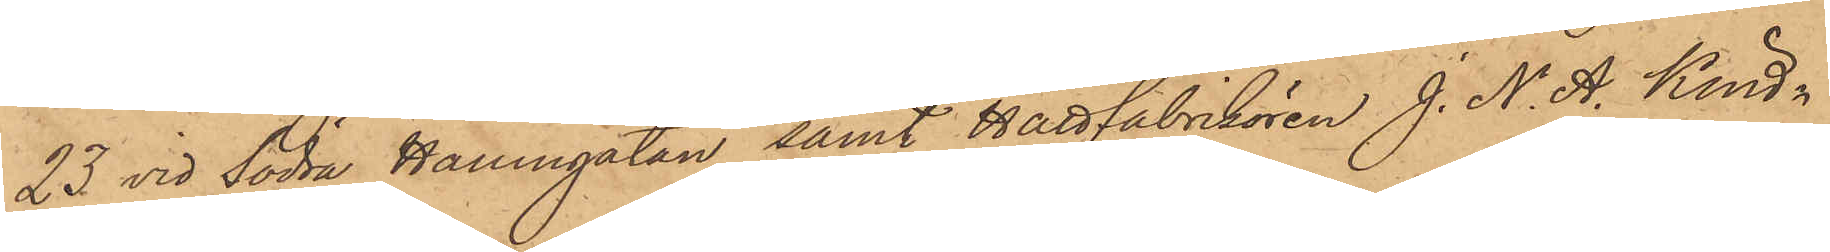23 vid Södra Hamngatan samt Hattfabrikören J. N. A. Kind¬
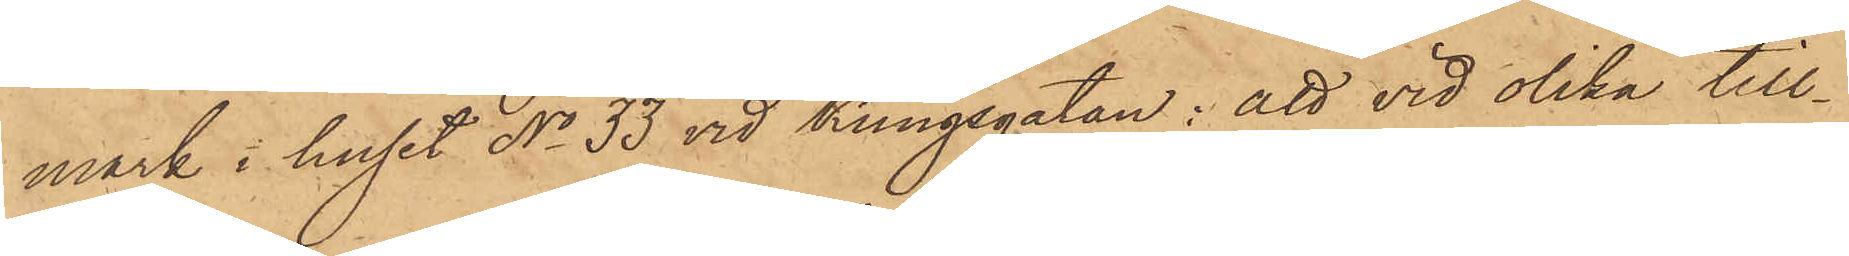mark i huset No 33 vid Kungsgatan; att vid olika till¬
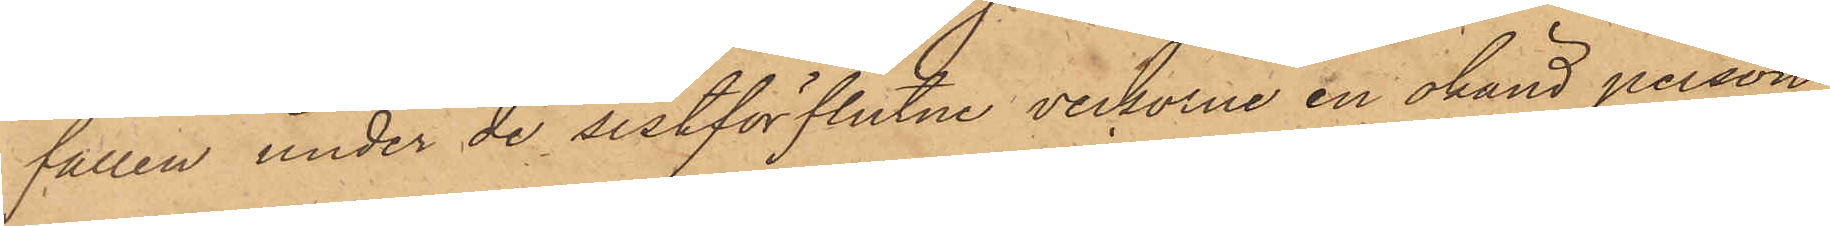fällen under de sistförflutne veckorna en okänd person
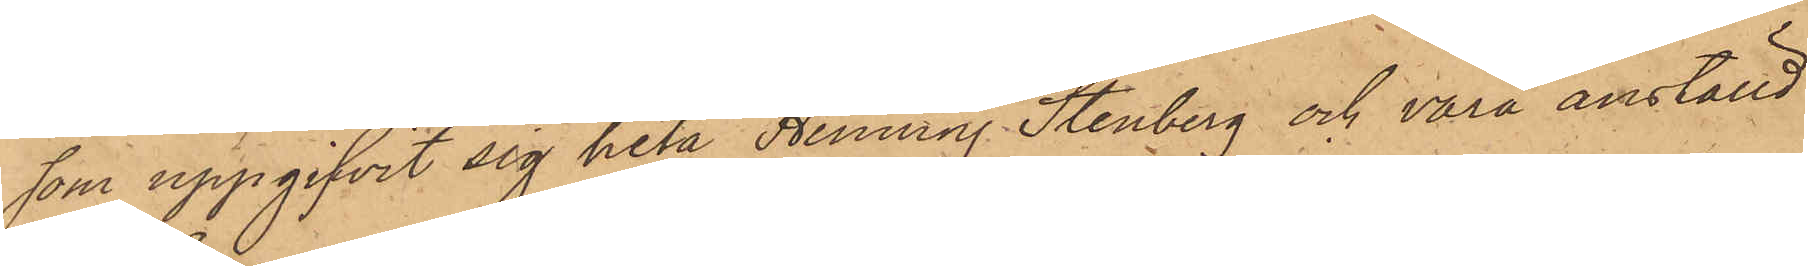som uppgifvit sig heta Henning Stenberg och vara anställd
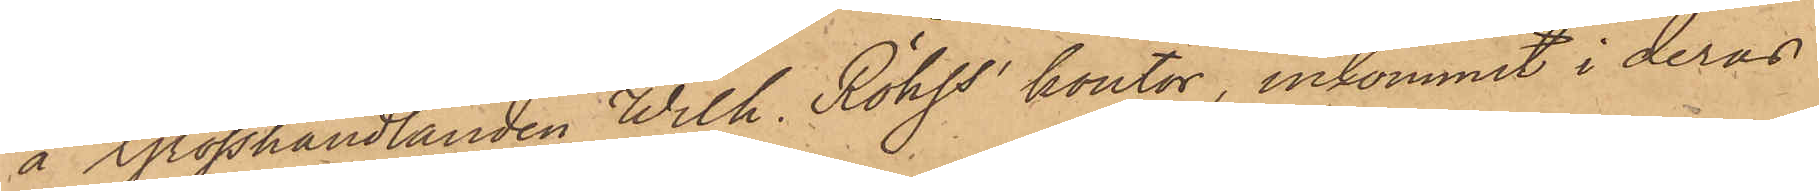å Grosshandlanden Wilh. Röhss kontor, inkommit i deras
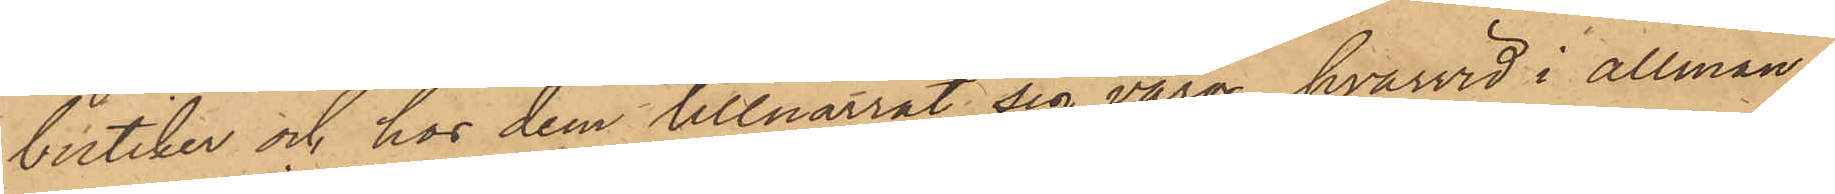butiker och hos dem tillnarrat sig varor, hvarvid i allmän¬
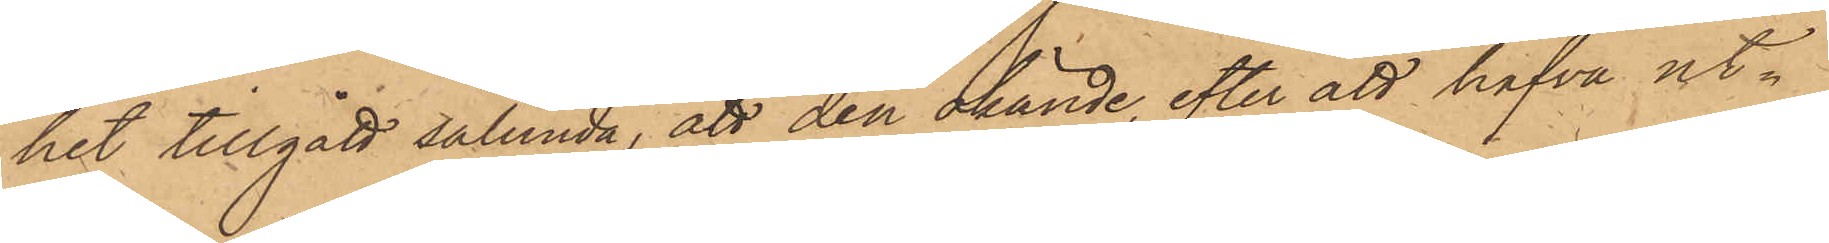het tillgått sålunda, att den okände, efter att hafva ut¬
